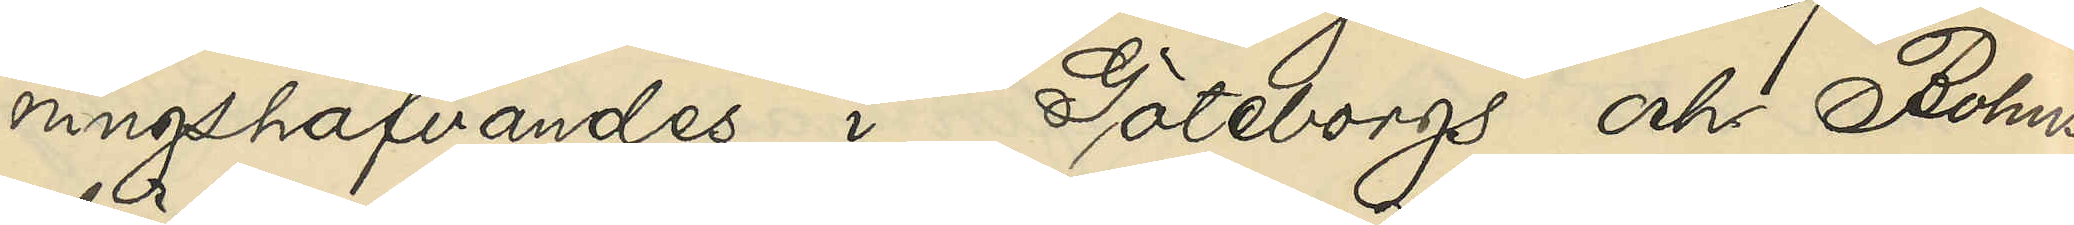ningshafvandes i Göteborgs och Bohus
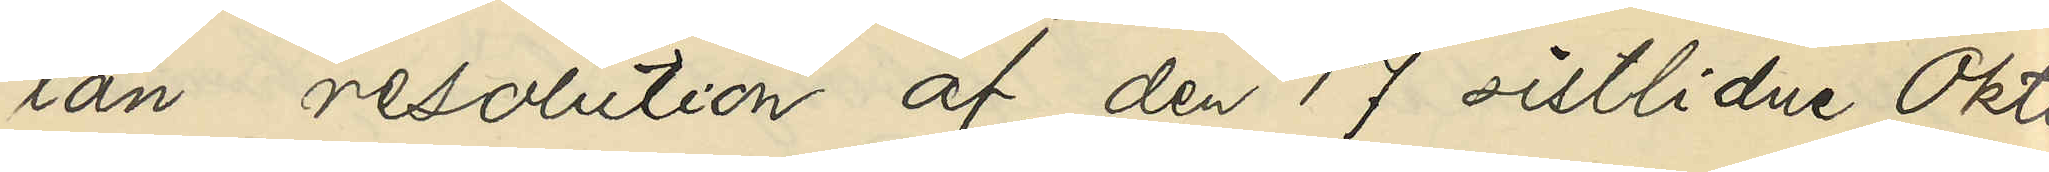län resolution af den 17 sistlidne Okto¬
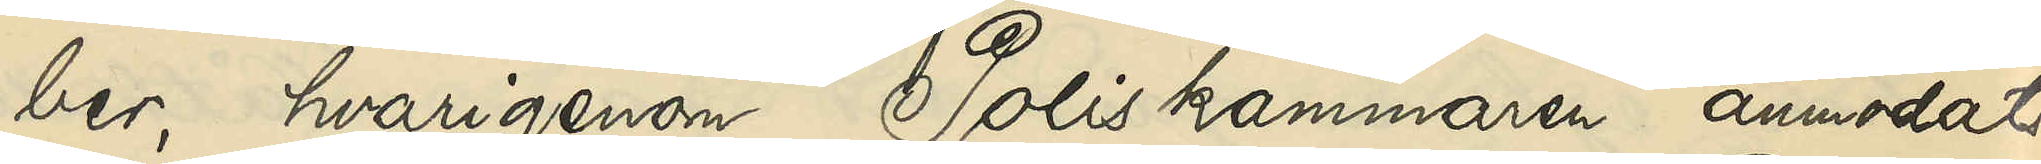ber, hvarigenom Poliskammaren anmodats
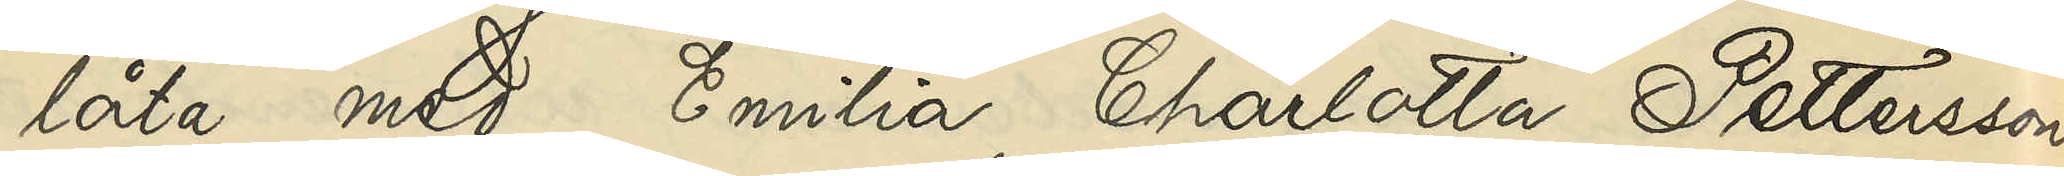låta med Emilia Charlotta Pettersson
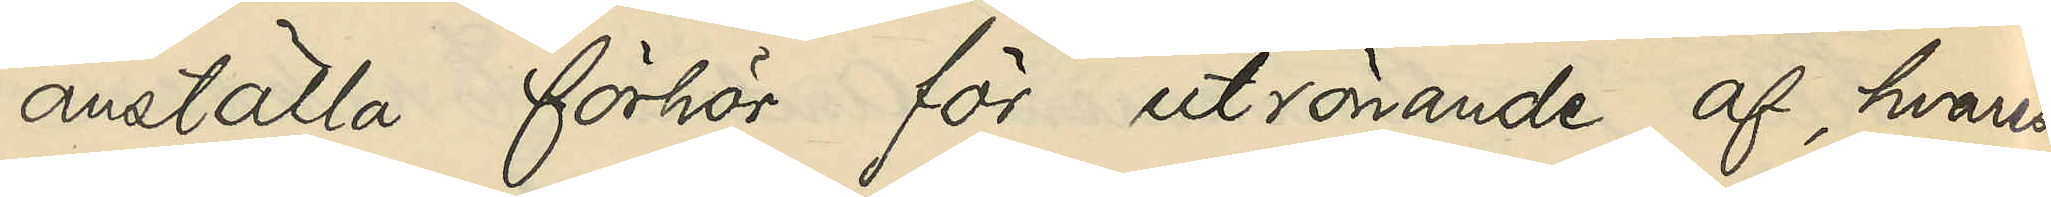anställa förhör för utrönande af, hvarest
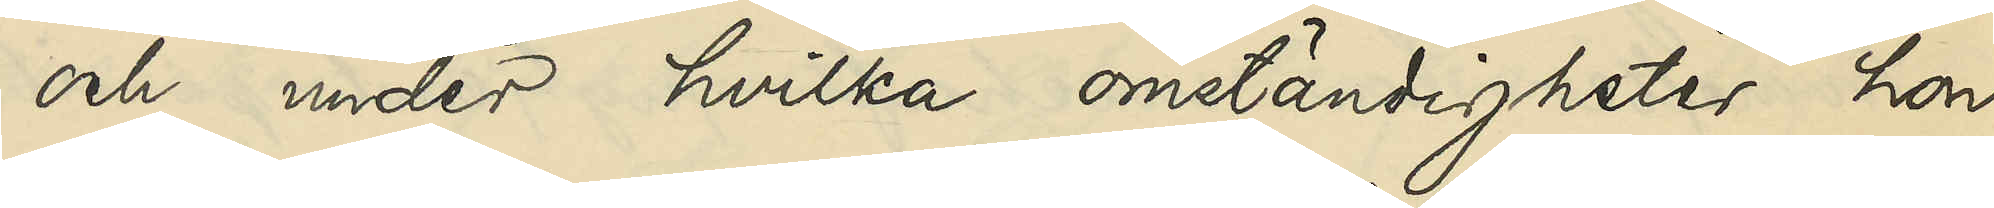och under hvilka omständigheter hon
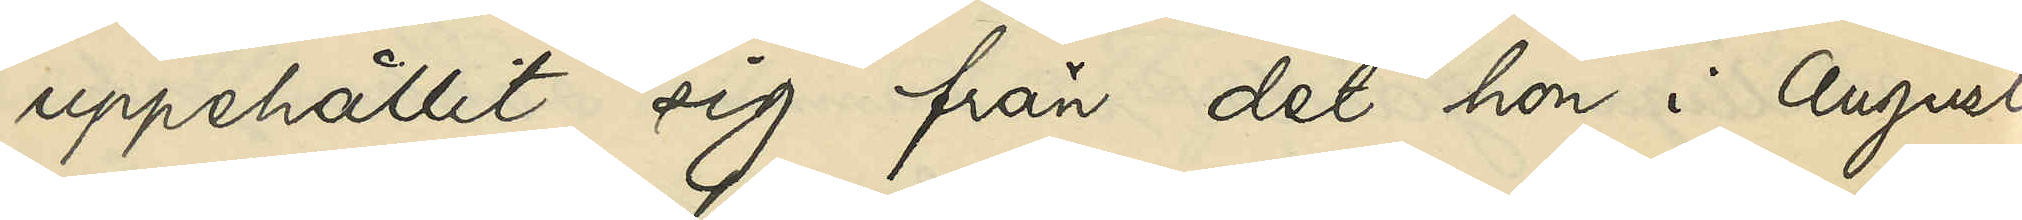uppehållit sig från det hon i Augusti
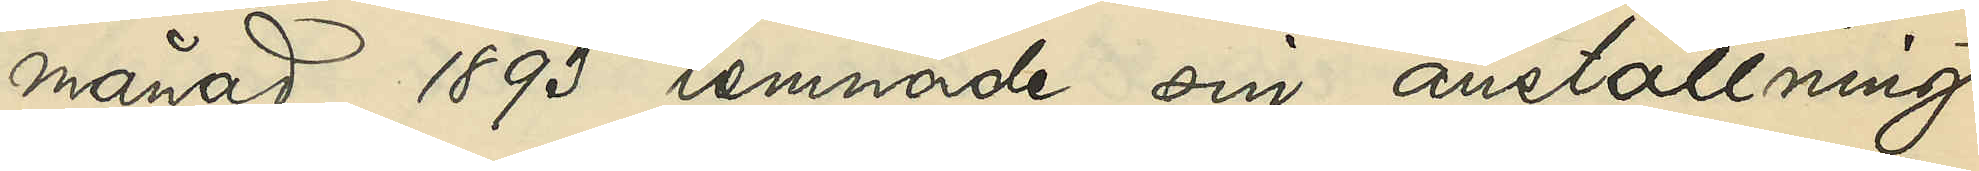månad 1893 lemnade sin anställning
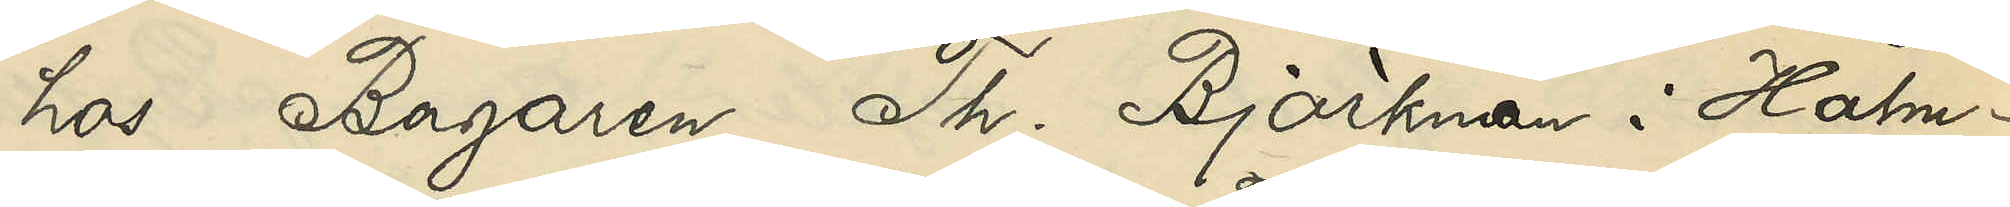hos Bagaren Th. Björkman i Halm¬
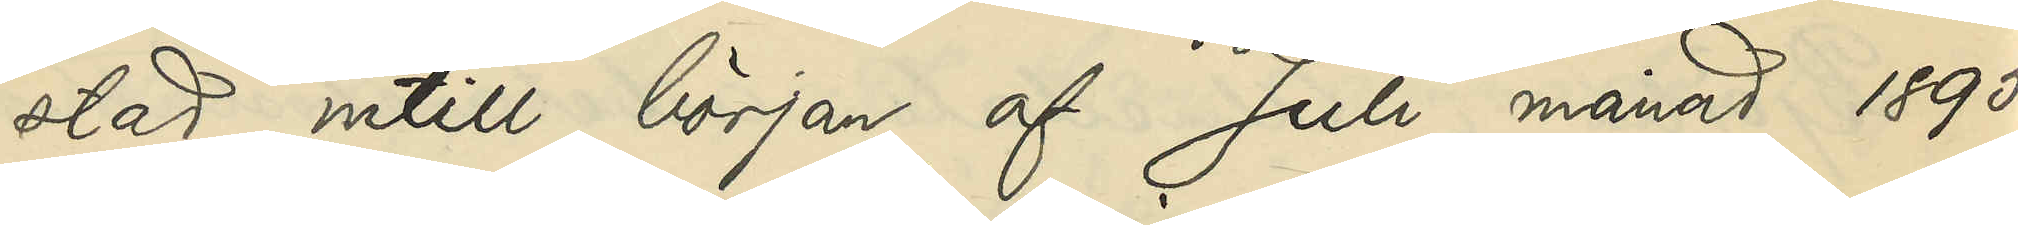stad intill början af Juli månad 1895,
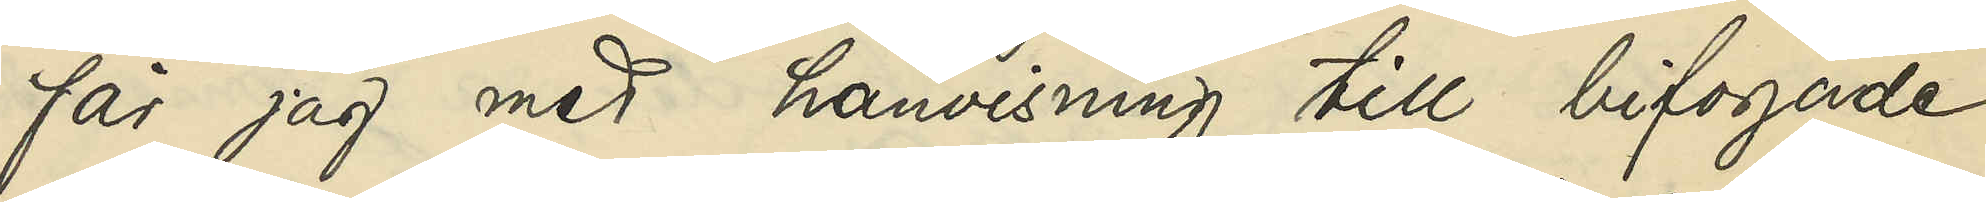får jag med hänvisning till bifogade
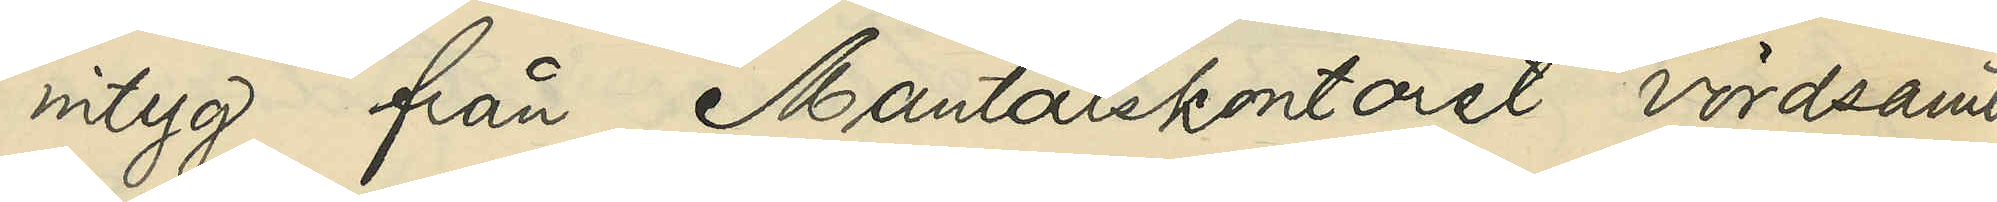intyg från Mantalskontoret vördsamt
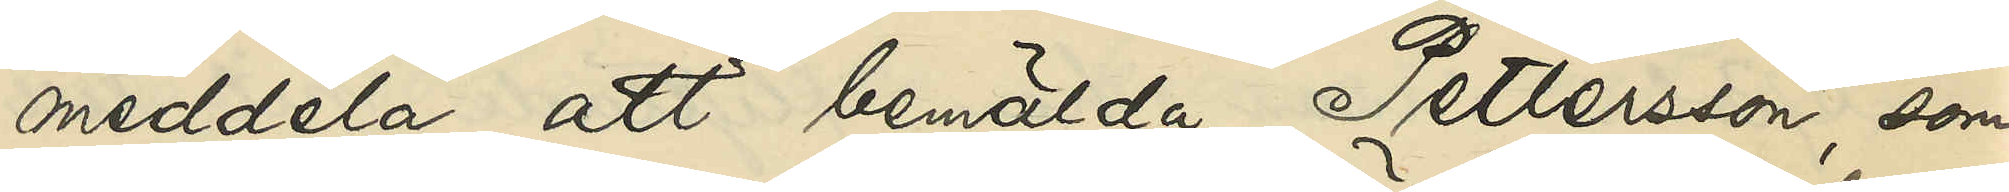meddela, att bemälda Pettersson som
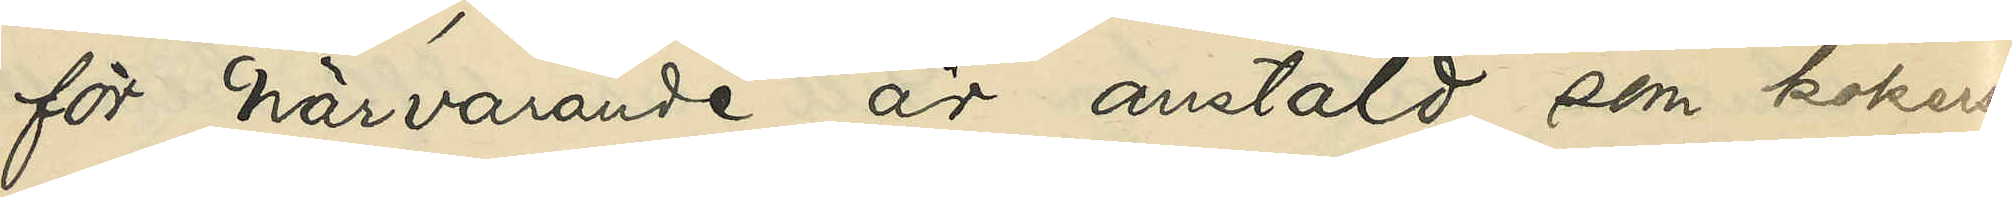för närvarande är anstäld som kokerska
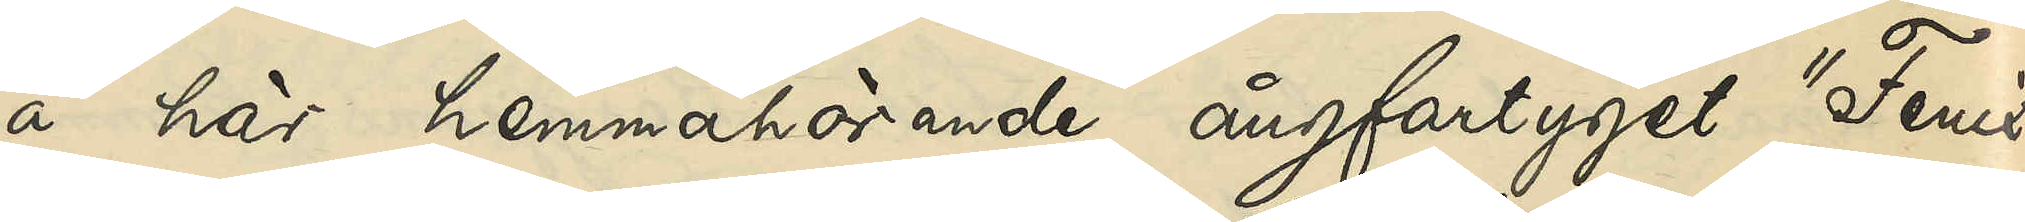å här hemmahörande ångfartyget "Fenix,
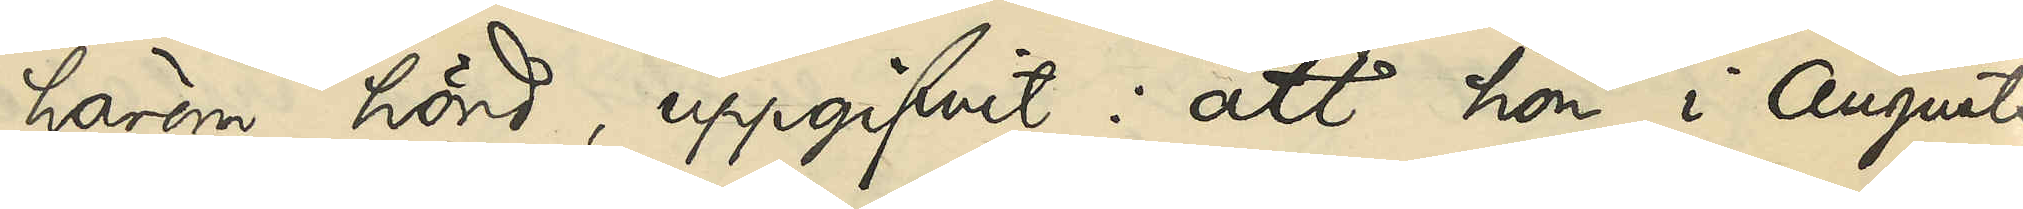härom hörd, uppgifvit: att hon i Augusti
